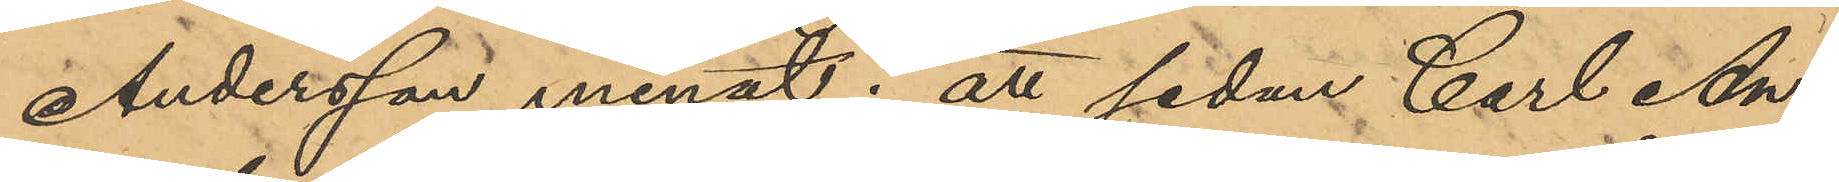Andersson menat; att sedan Carl An¬
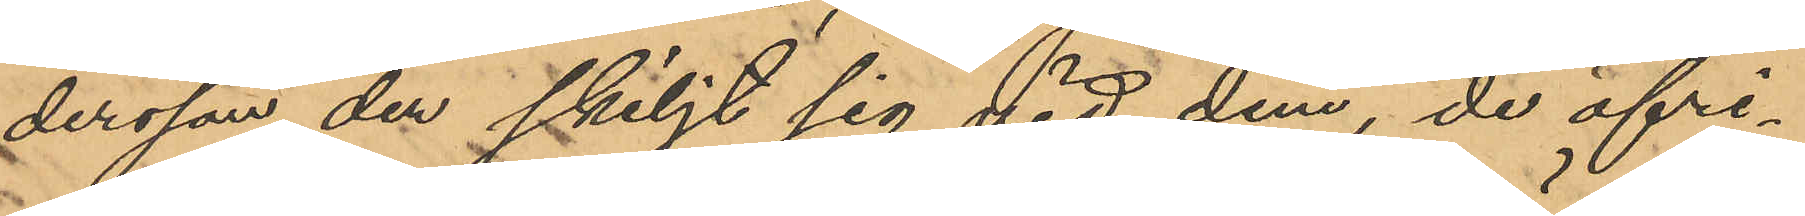dersson der skiljt sig vid dem, de öfri¬
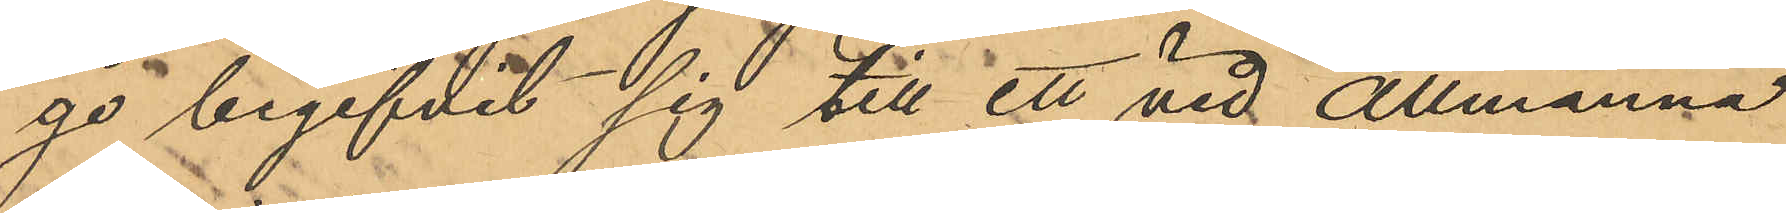ga begifvit sig till ett vid Allmänna
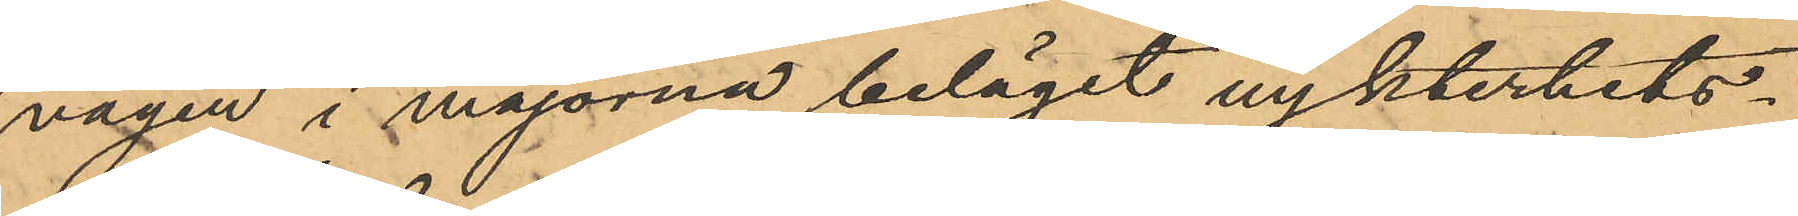vägen i majorna beläget nykterhets¬
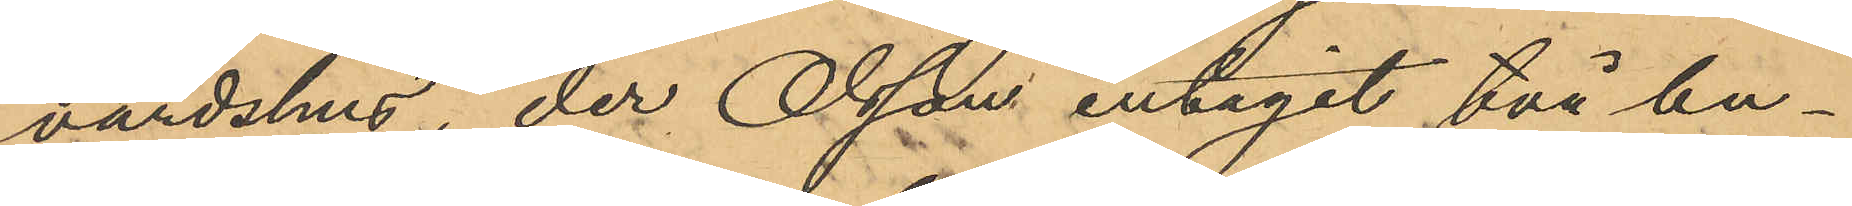värdshus, der Olsson intagit två bu¬
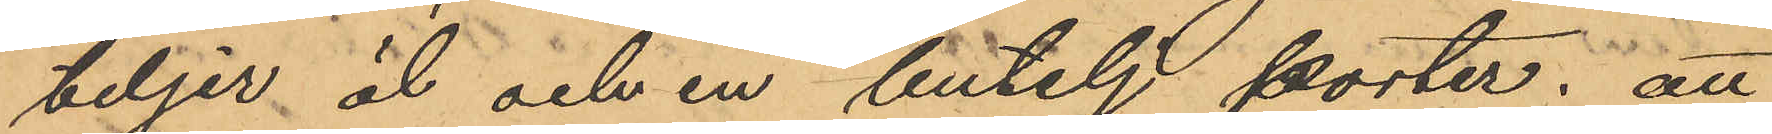teljer öl och en butelj porter; att
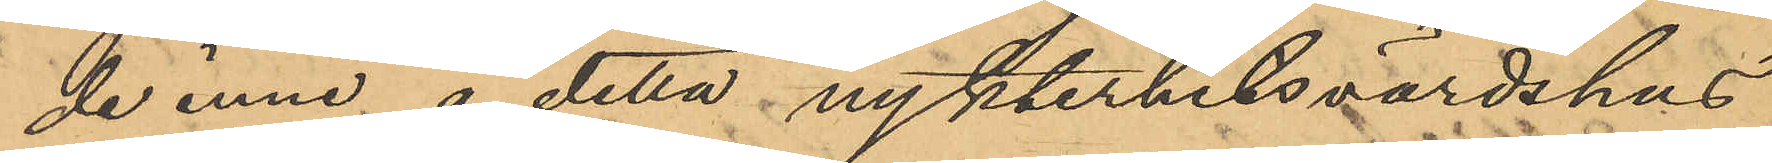de inne å detta nykterhetsvärdshus
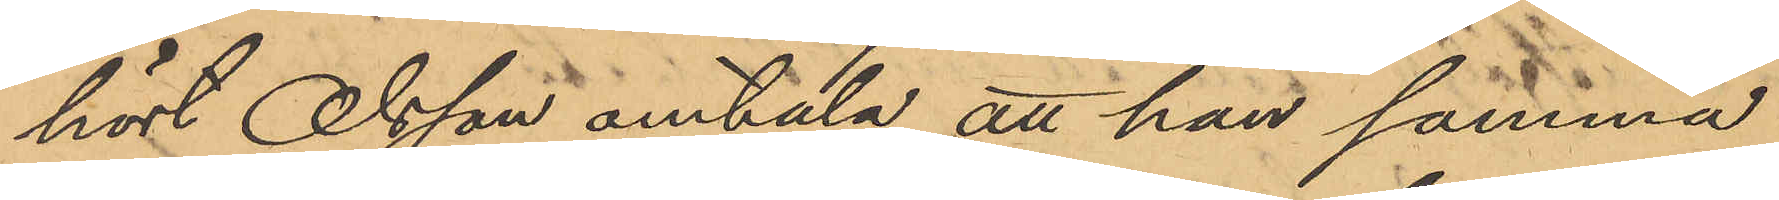hört Olsson omtala att han samma
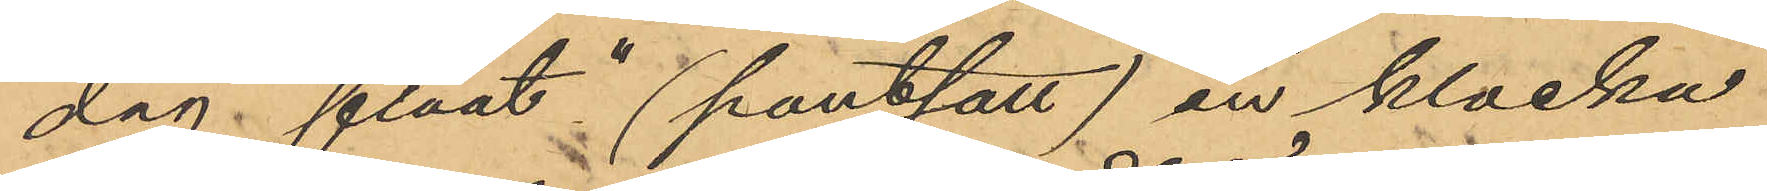dag "flåat"(pantsatt) en klocka
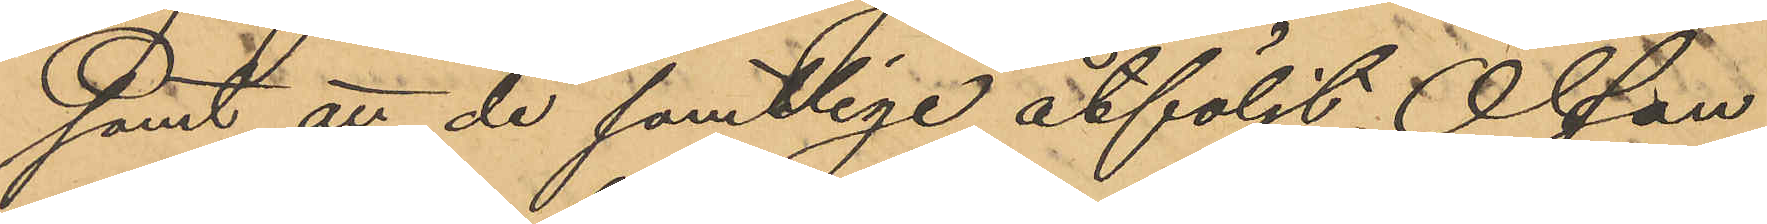samt att de samtlige åtföljt Olson
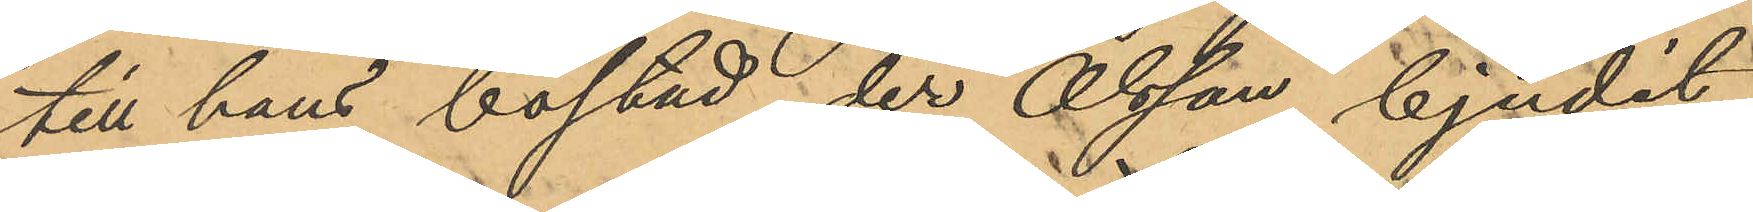till hans bostad, der Olsson bjudit
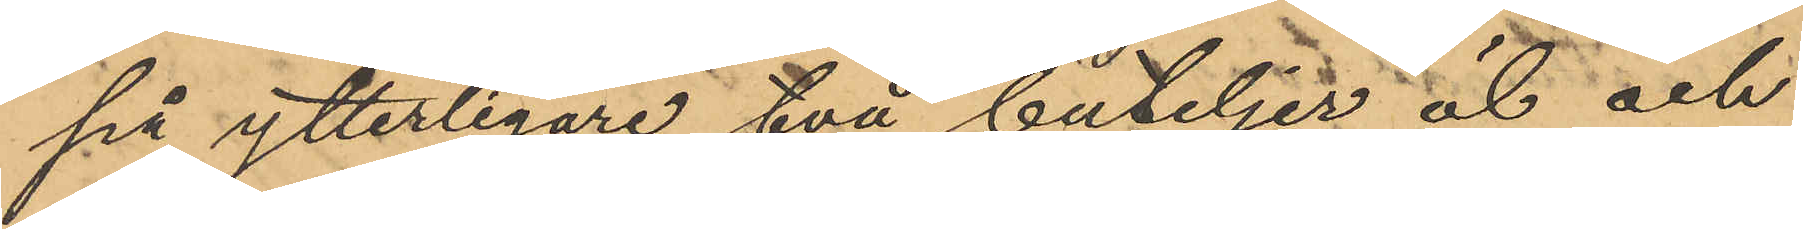på ytterligare två buteljer öl och
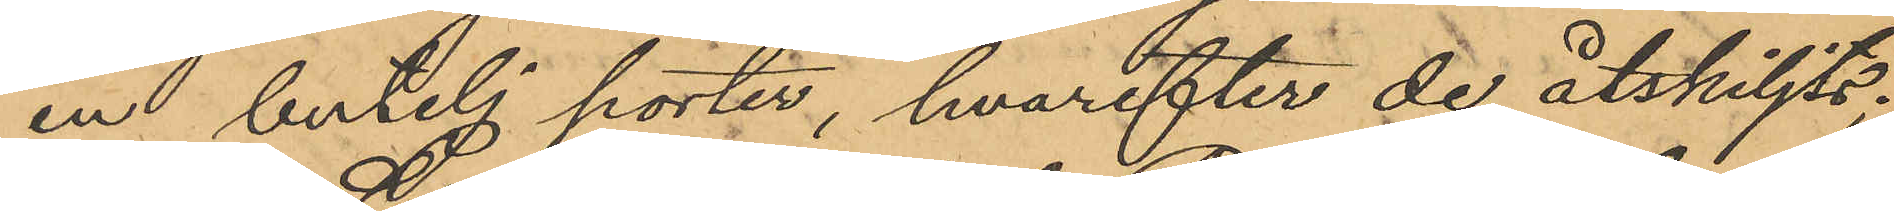en butelj porter, hvarefter de åtskiljts;
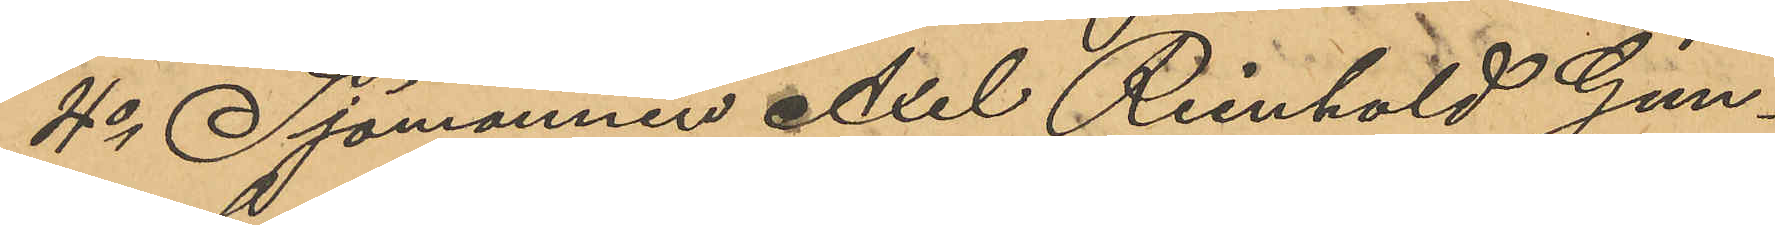4o Sjömannen Axel Reinhold Gun¬
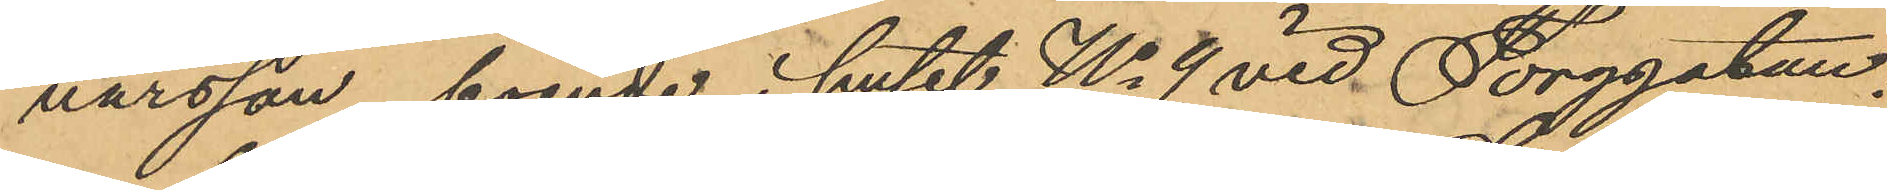narsson, boende i huset No 9 vid Torggatan,
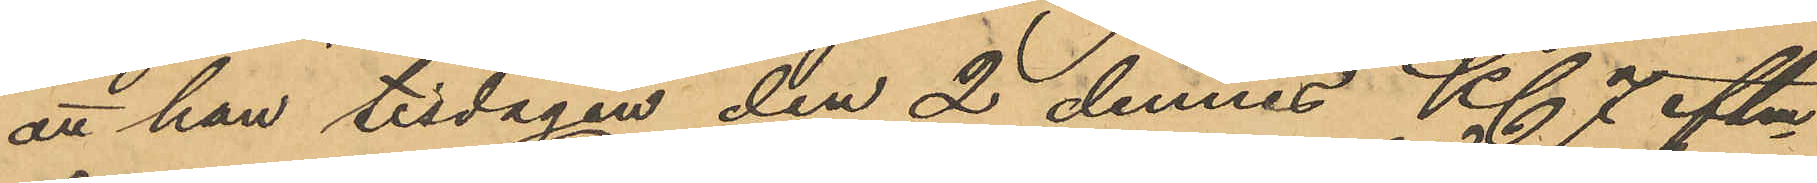att han tisdagen den 2 dennes Kl 7 eftm
